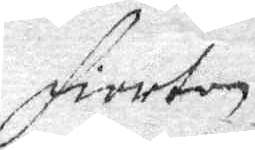fiorton
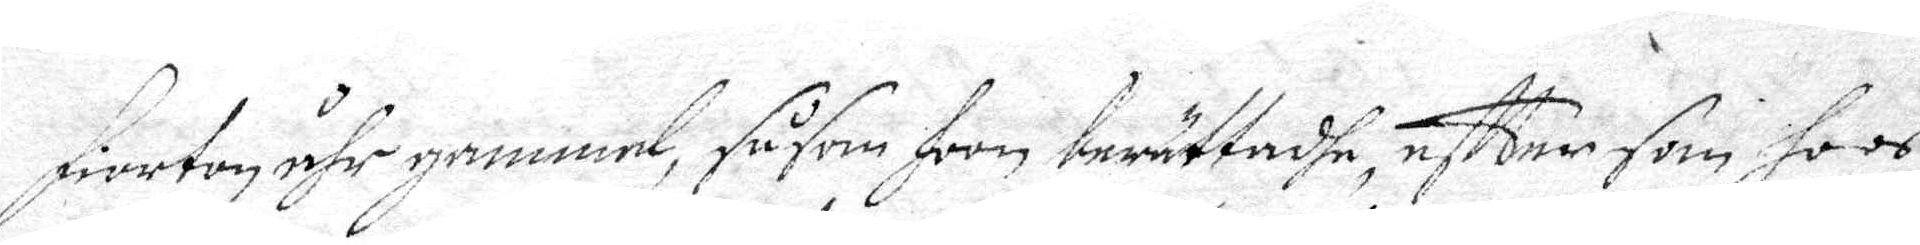fiorton åhr gammel, såsom hoon berättadhe, eftter som hoos
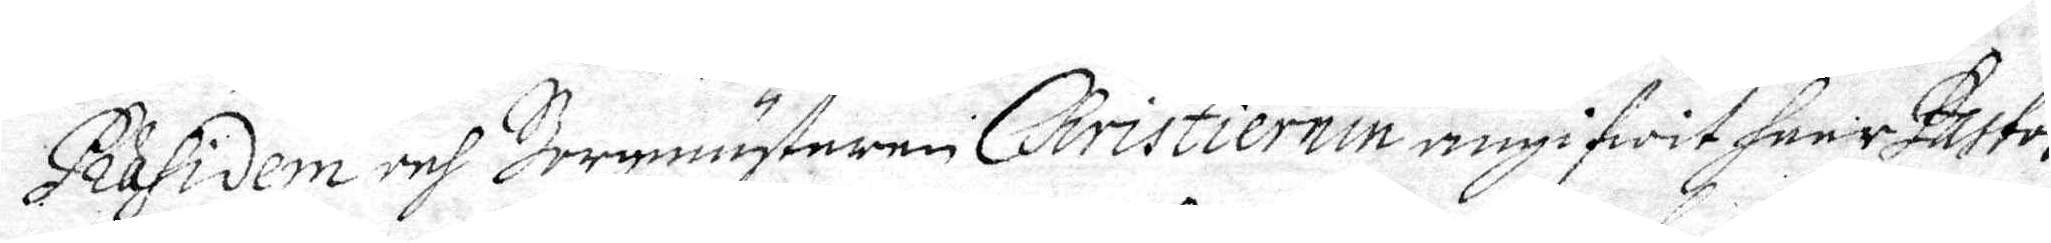Præsidem och Borgmästaren Christiernin angifwit herr Pastor
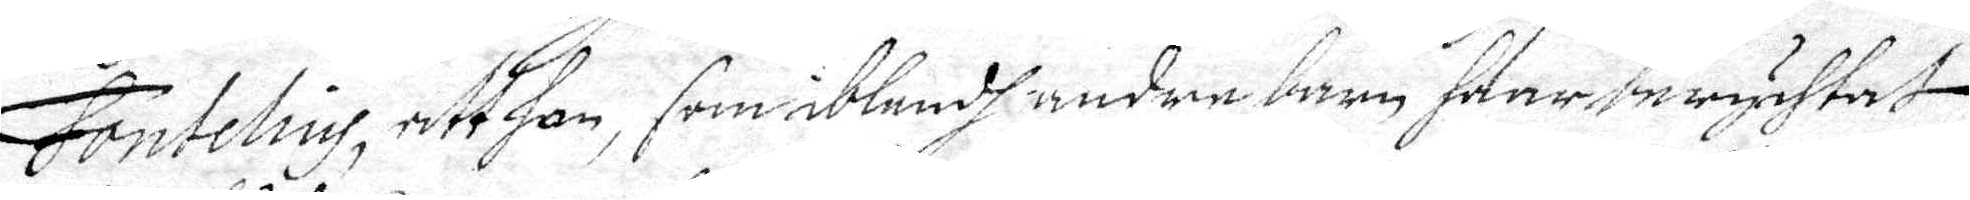Fontelius, att han, som iblandh andre barn haar berychtat
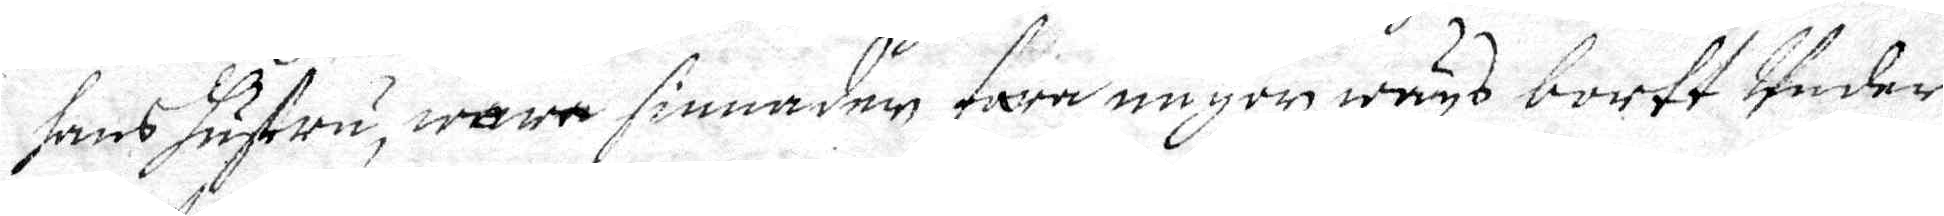hans hustru, wara sinnaden fara någor wägs bortt Under
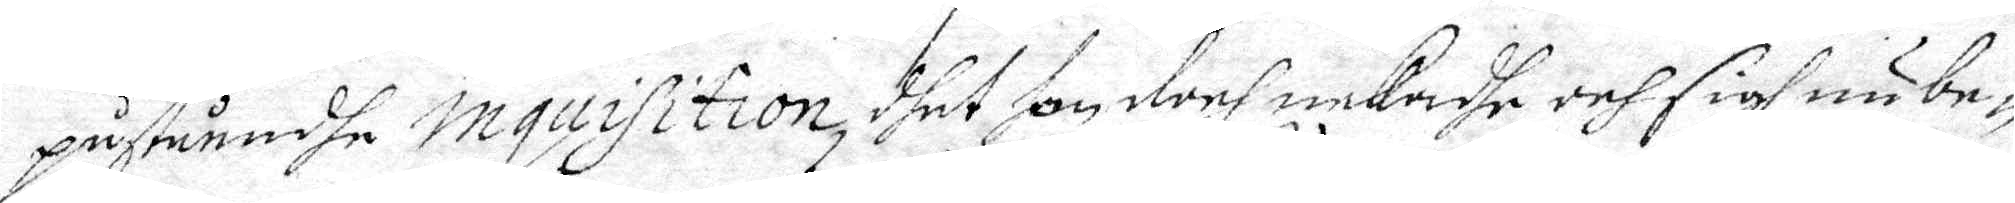påståendhe inquisition, dhet han doch nekadhe och sigh nu be¬
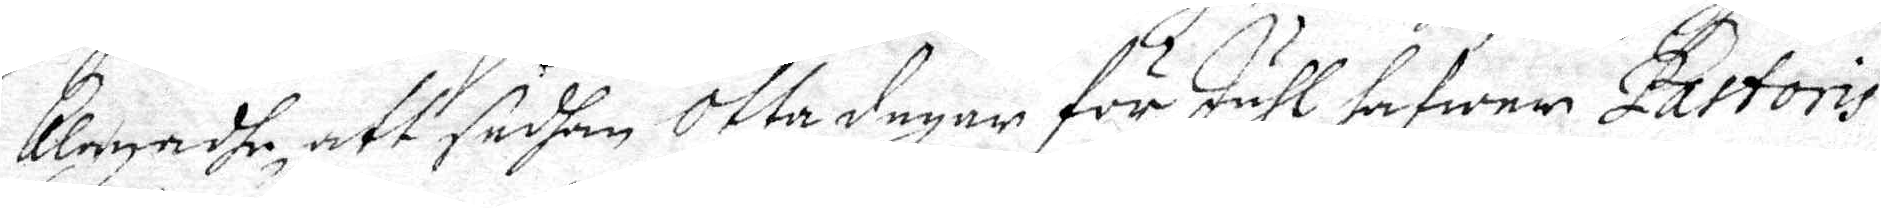klagadhe, att sedhan Otta dagar för Juhl hafwer Pastoris
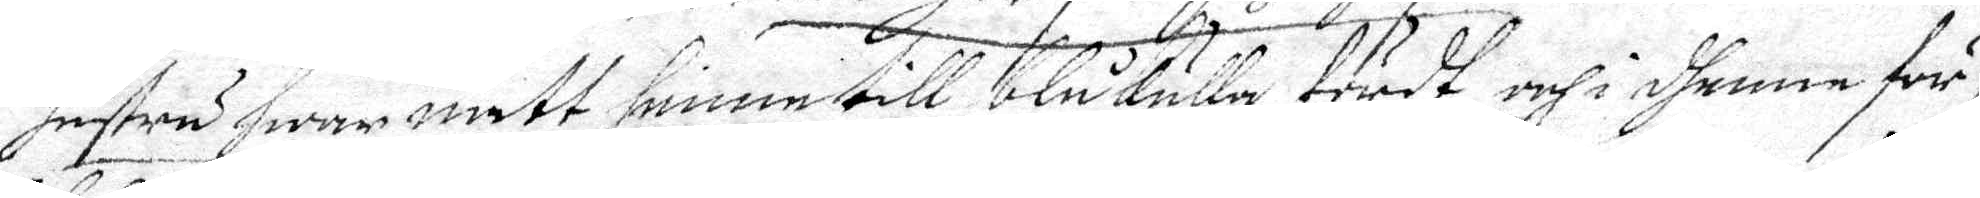hustru hwar natt henne till blåkulla fördt, och i dhenna för¬
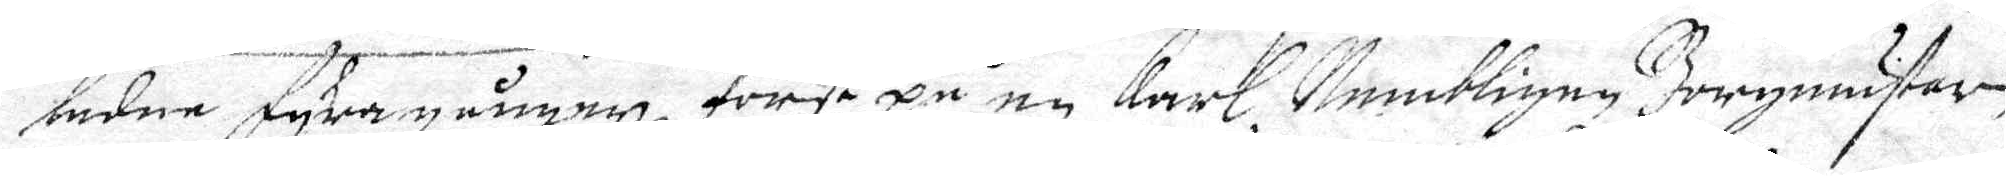ledne fyra gånger, först på en karl Nembligen Borgmästaren
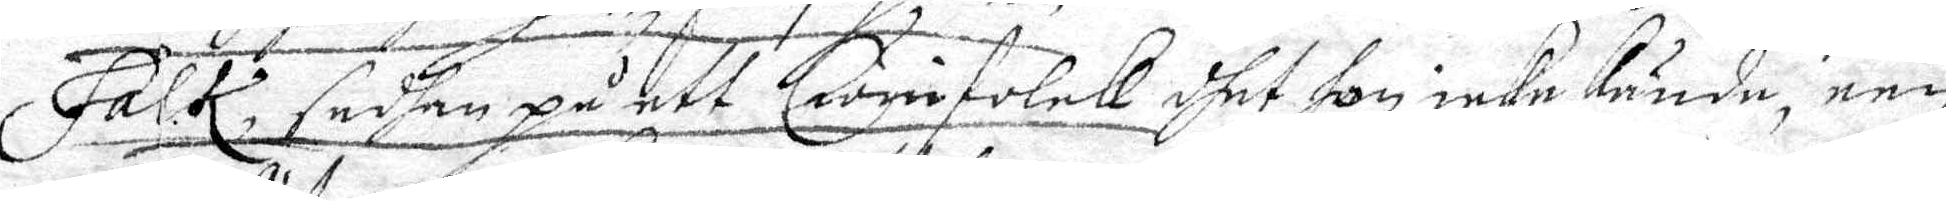Falk, sedhan på ett Cwinfolck dhet hon icke kände, een
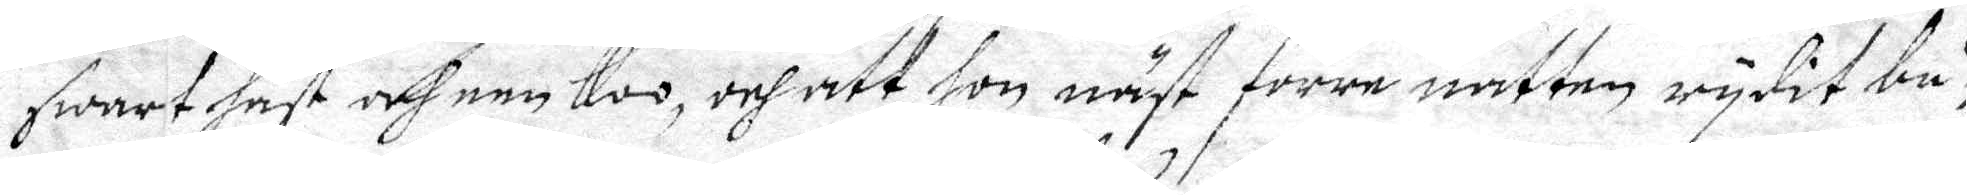swart häst och een koo, och att hon näst förre natten rydit bå¬
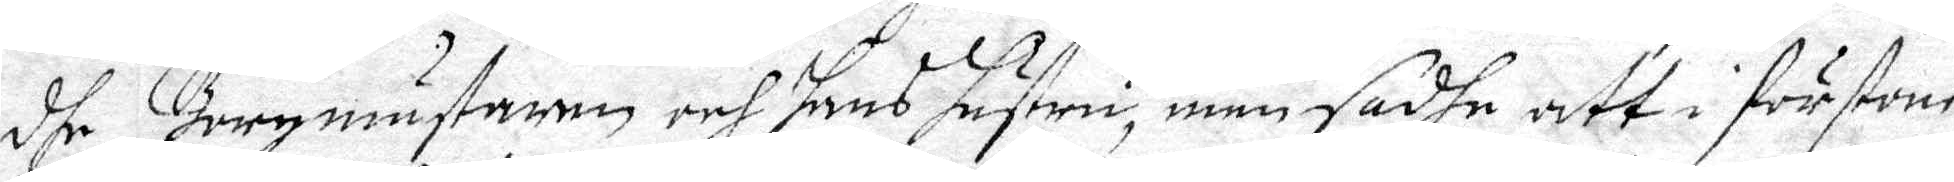dhe Borgmästaren och hans hustru, men sadhe att i förstone
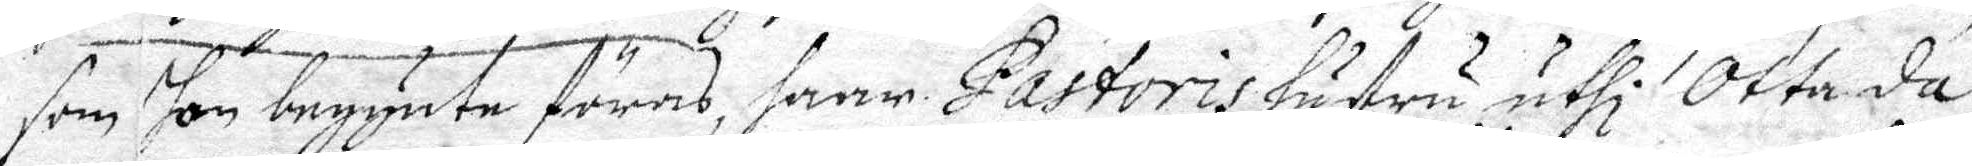som hon begynte föras, haarnne Pastoris hustru uthi Otta da¬
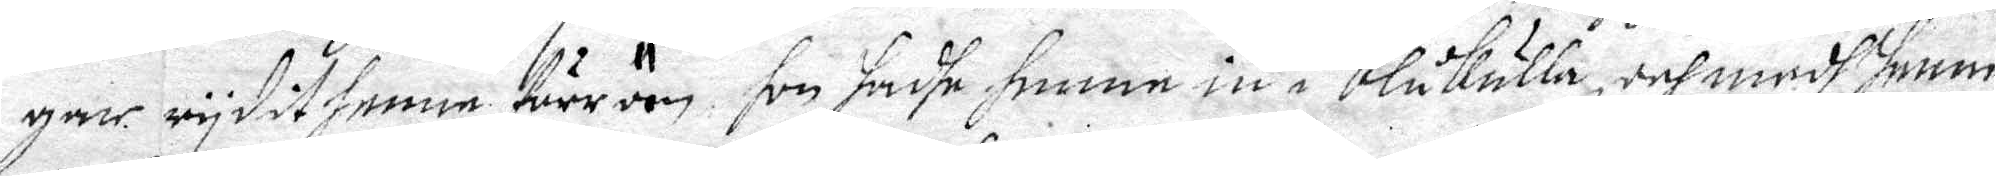gar rydit henne förr äen hon hadhe henne in i Blåkulla, och medh henne
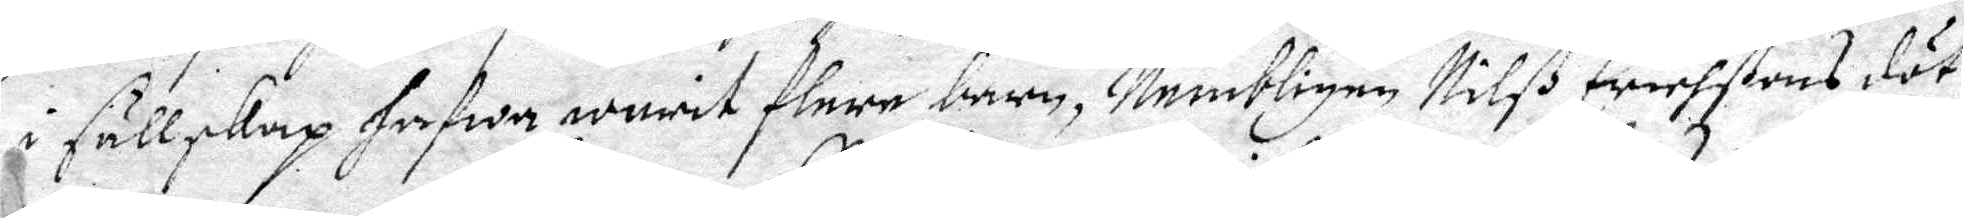I sällskap hafwa warit flere barn, Nembligen Nilß Erichsons döt¬
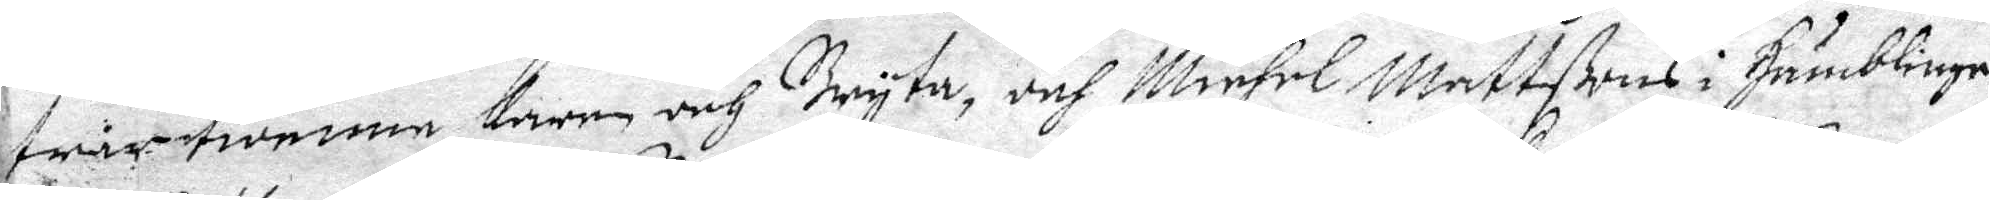trar twenne Karin och Bryta, och Michel Mattßons i Humblinge¬
